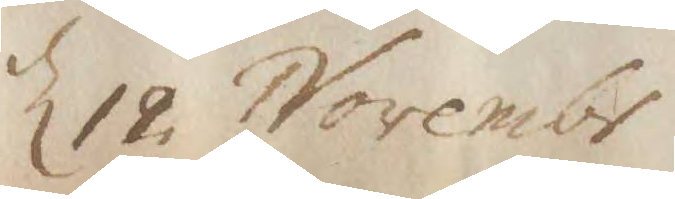d 12 Novembr
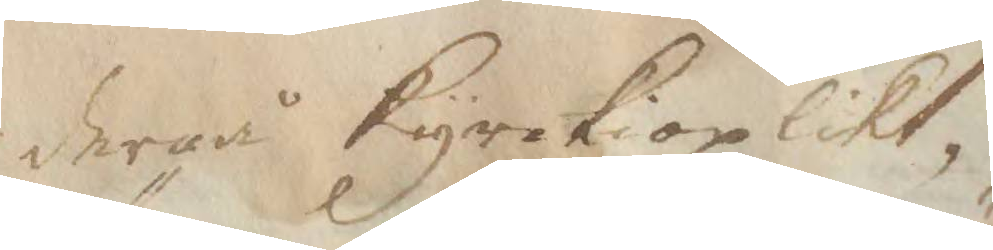dergå Kyrkioplikt,
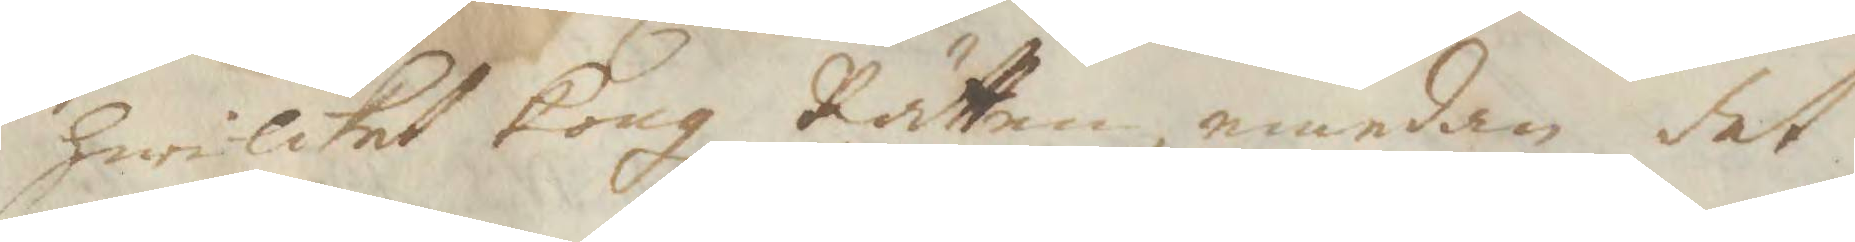hwilket Kongl Rätten, emedan det 
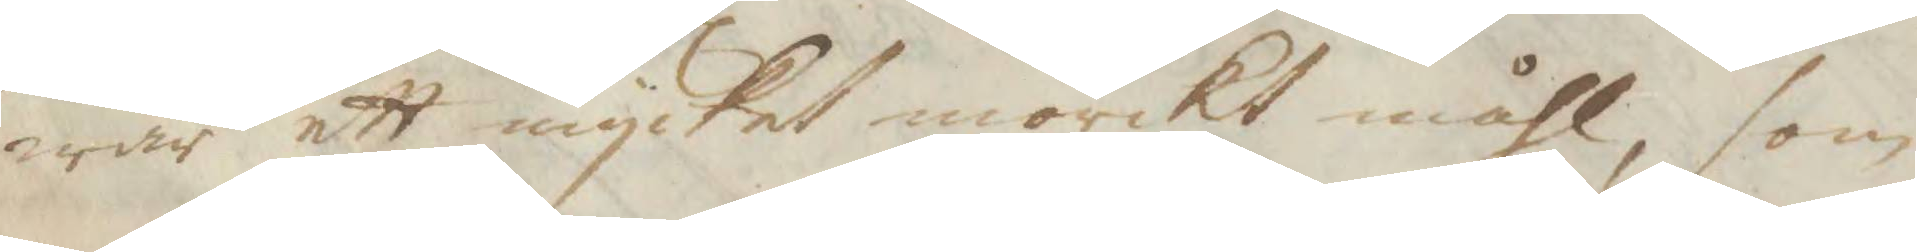war ett mycket mörckt måhl, som
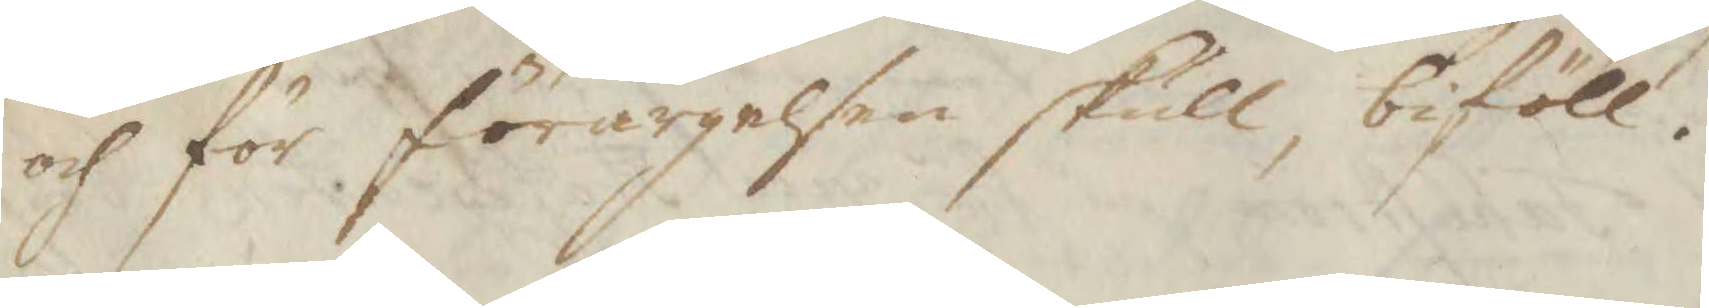och för förargelsen skull, biföll.
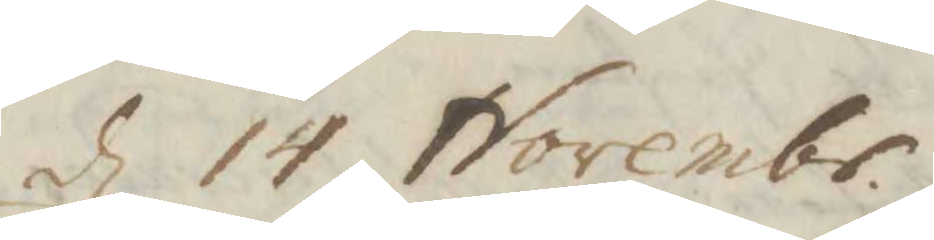d 14 Novembr.
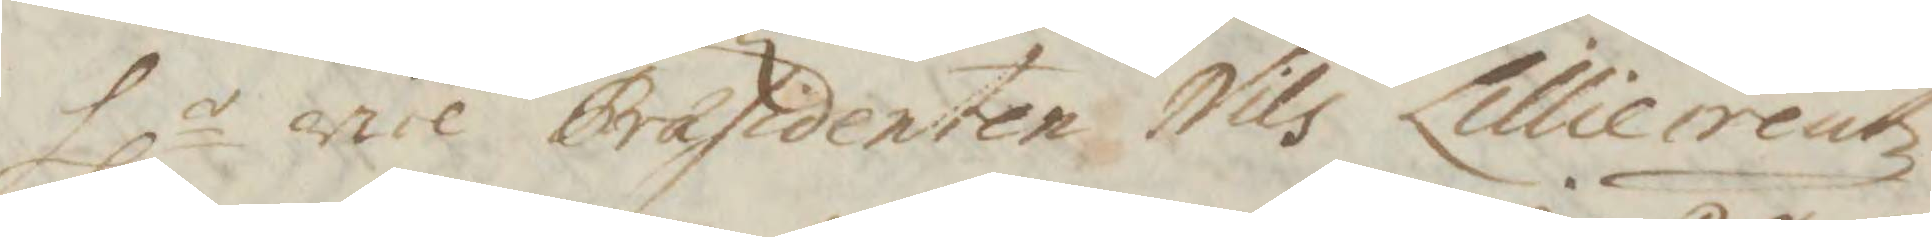Hlr vice Præsidenten Nils Lilliecreutz
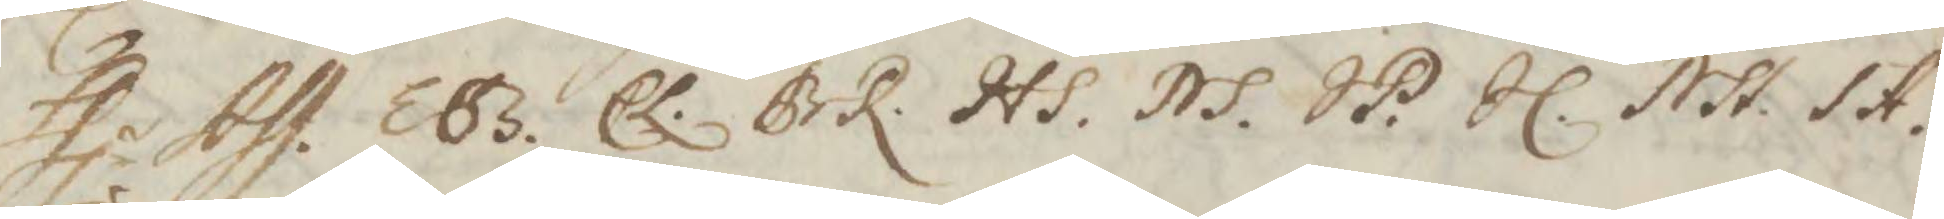Hlr Ass. EBS. EL. BR. HS. NS. SP. IL. NSt. SA.
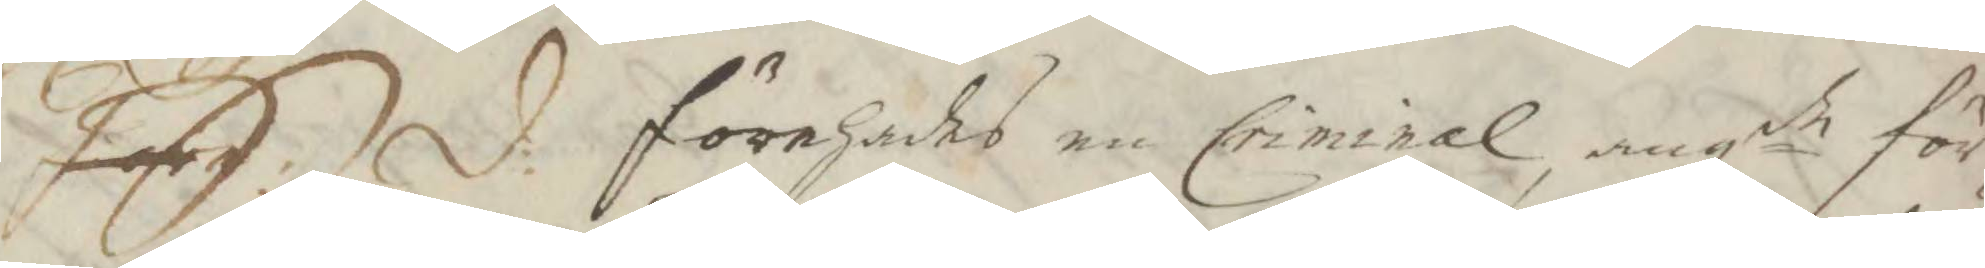S: d: förehades en Criminale, angde för¬
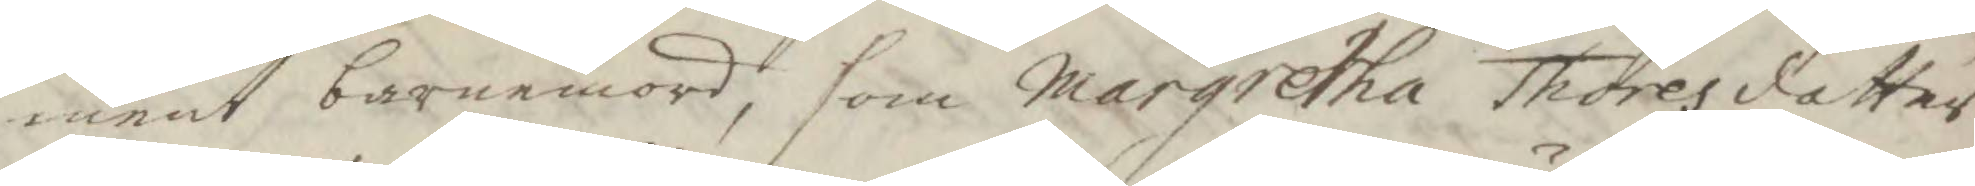ment barnamord, som Margretha Thoresdotter
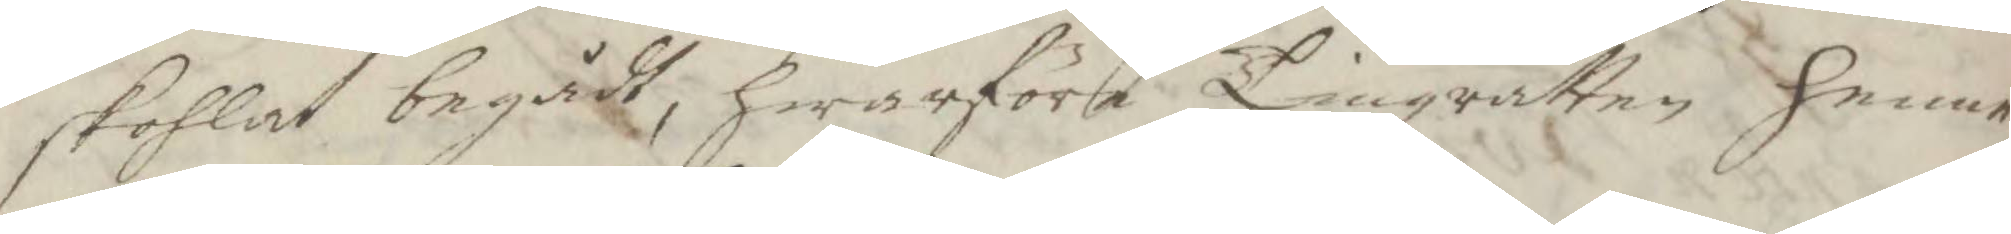skohlat begådt, hwarföre Tingzrätten henne
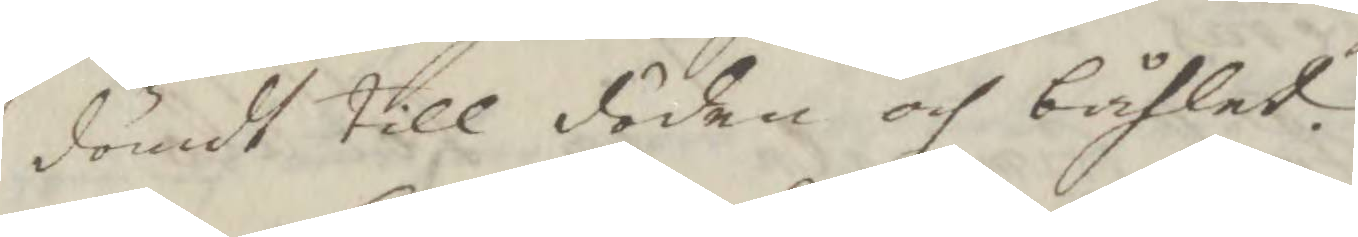sömdt till döden och båhlet.
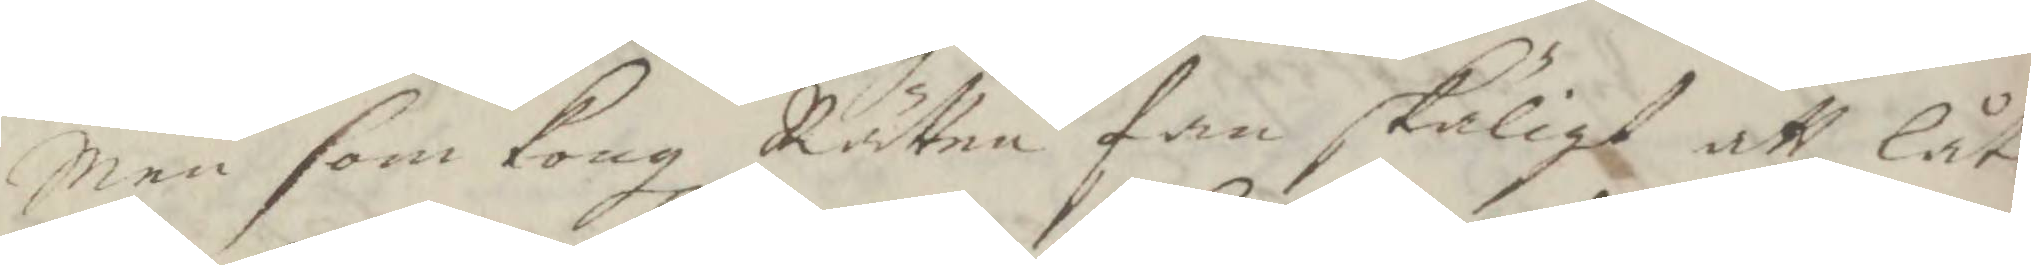Men som Kongl Rätten fan skäligt att låta
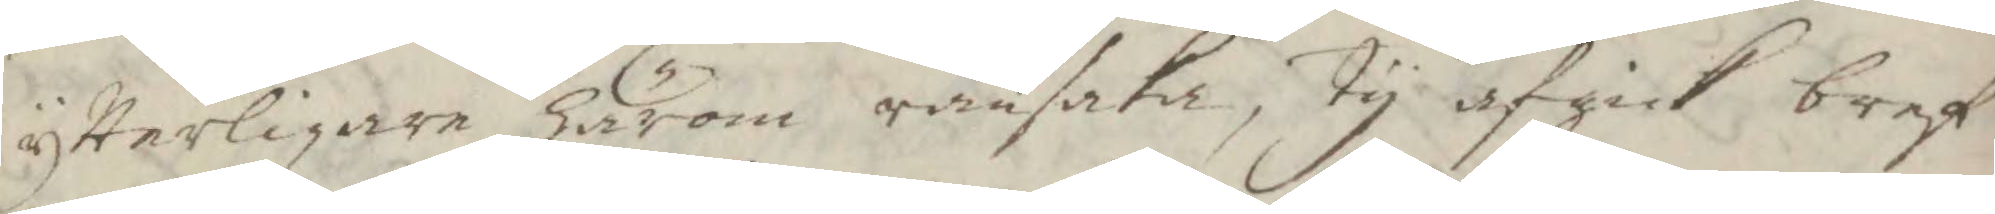ytterligare härom ransaka, ty afgick bref
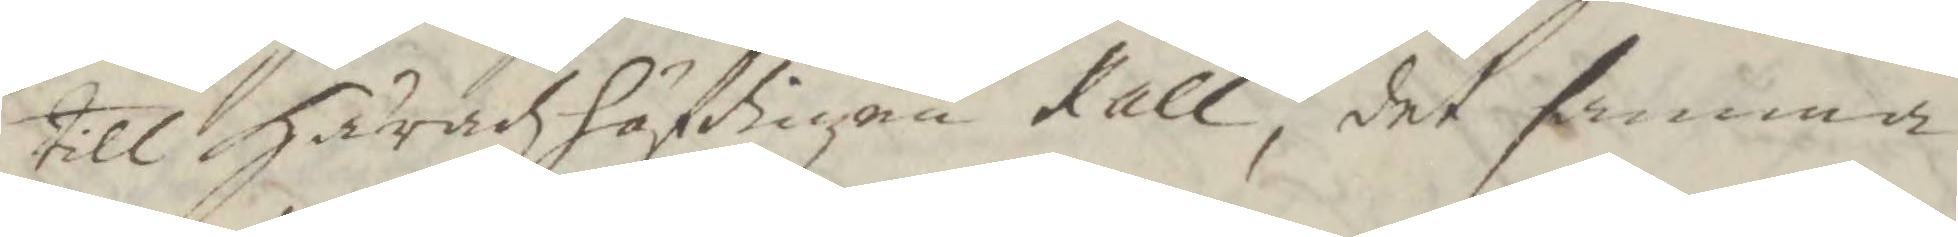till Häradzhöfdingen Kall, det samma
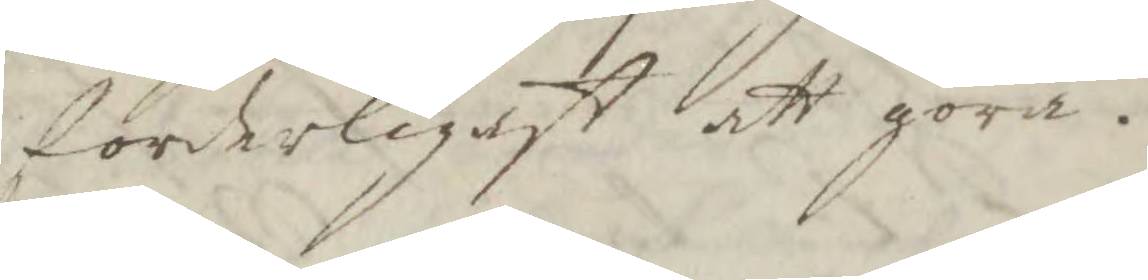forderligast att göra.
